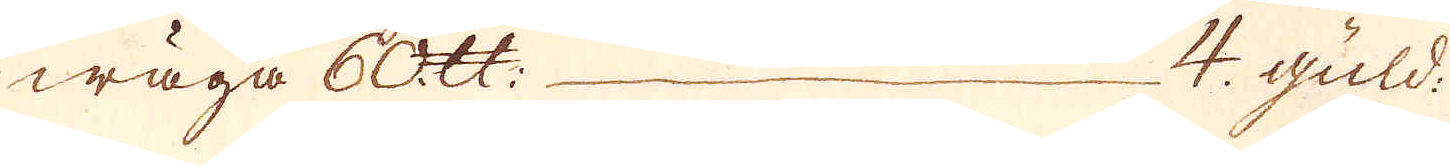wäga 60 skålpund — 4 guld:
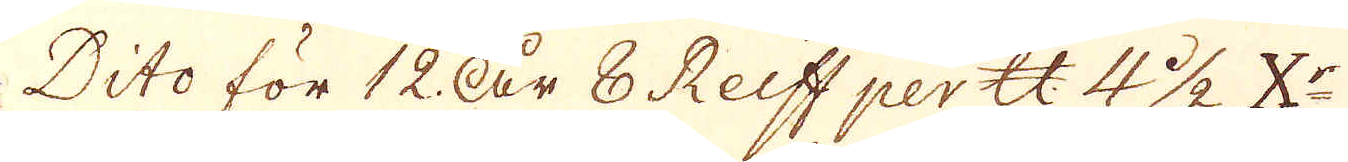Dito för 12 År 8 Reiff per skålpund 4 1/2 X:r
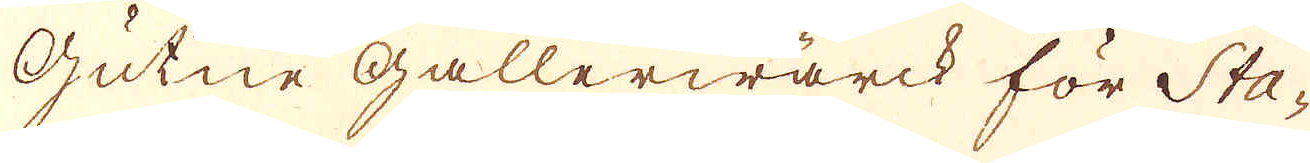Gutne Gallerwärck för Sta-
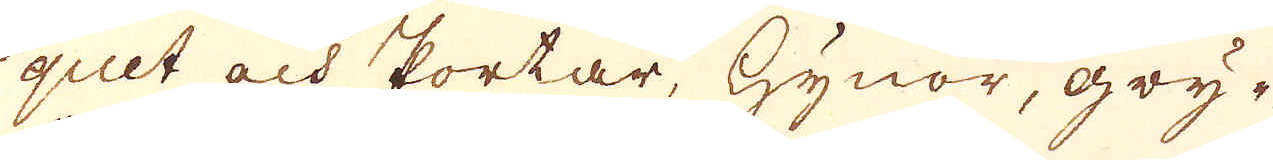quet och Portar, Hynor, gry-
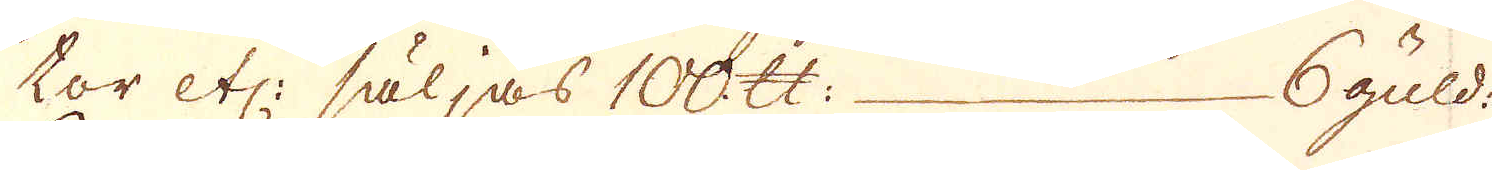tor etc: säljas 100 skålpund — 6 guld:
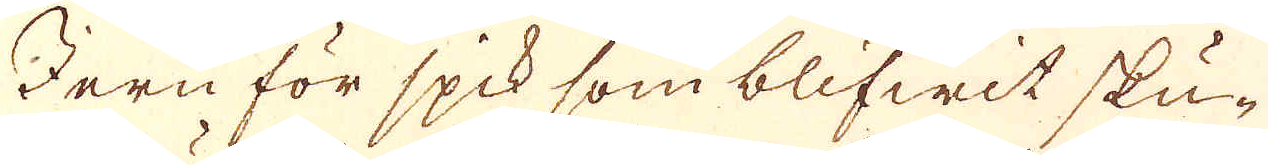Jern för spik som blifwit sku-
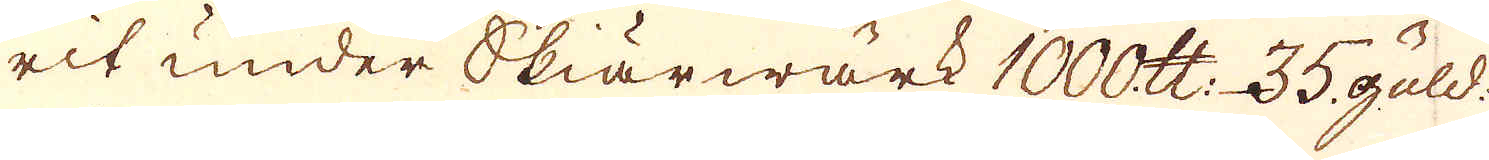rit under Skiärwärk 1000 skålpund 35 guld:
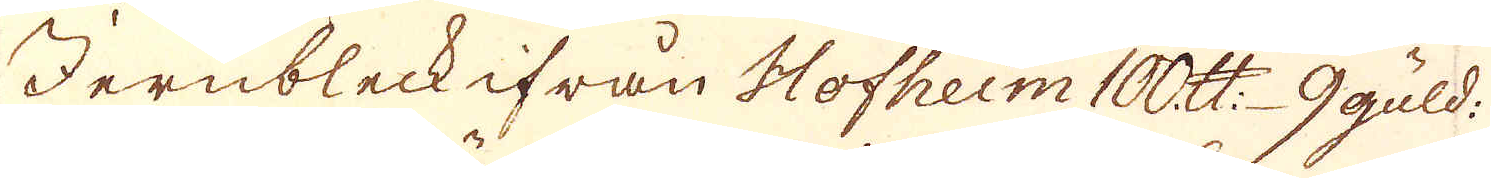Jernbleck ifrån Hofheim 100 skålpund 9 guld:
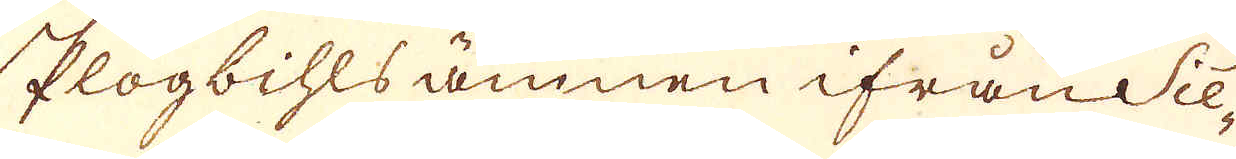Plogbihls ämnen ifrån Sie-
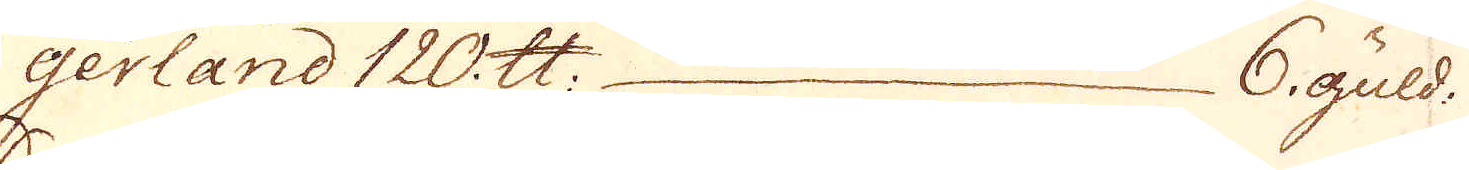gerland 120 skålpund — 6 Guld:
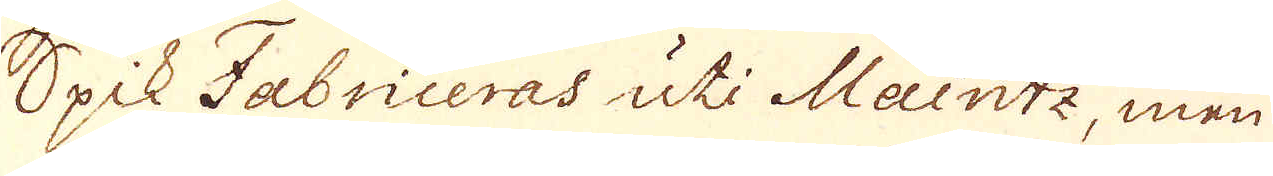Spik Fabriceras uti Maintz, men
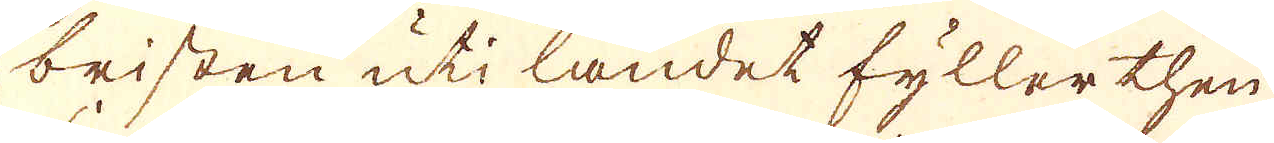bristen uti landet fyller then
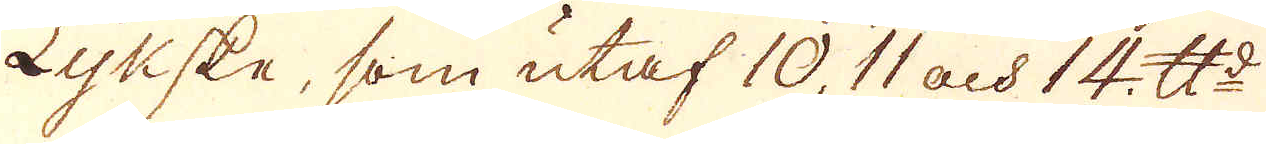Lykske, som utaf 10, 11 och 14 skålpund
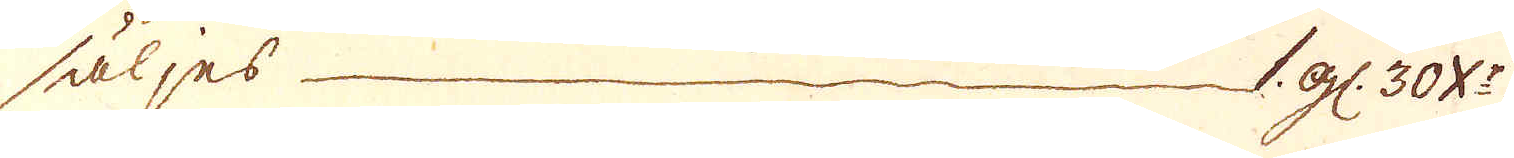säljes — 1 gl: 30 X:r
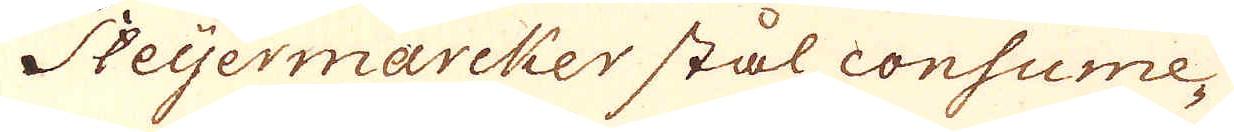Steijermarcker stål consume-
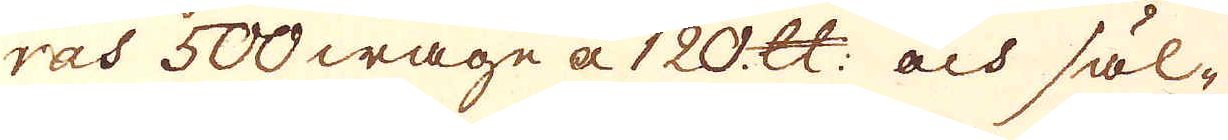ras 500 wage a 120 skålpund och säl-
